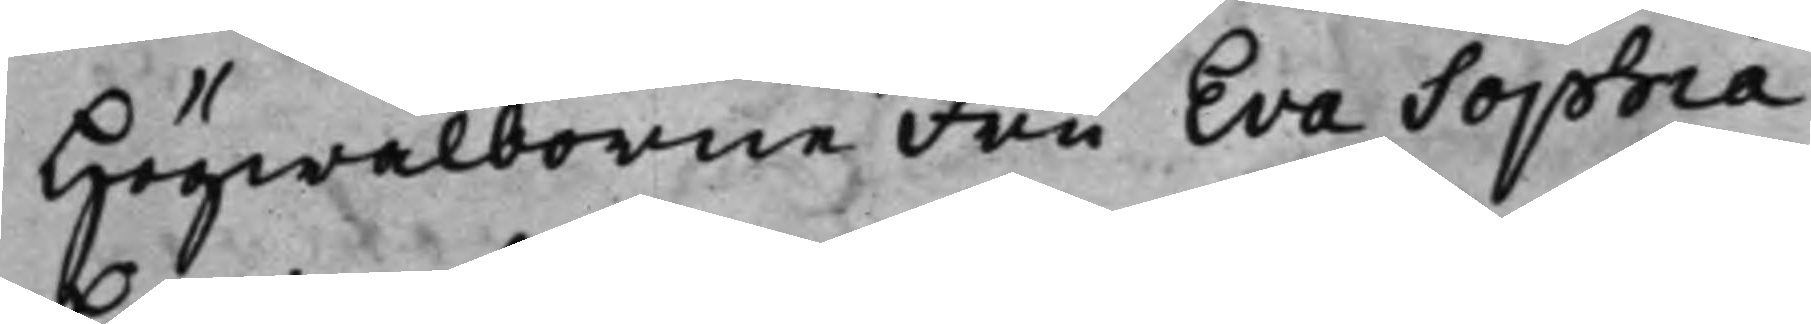Högwälborne Fru Eva Sophia
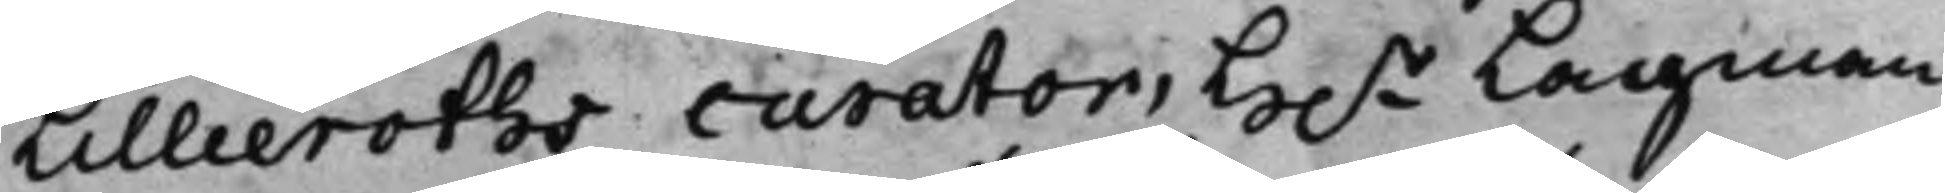Lilleroths curator, H.r Lagman¬
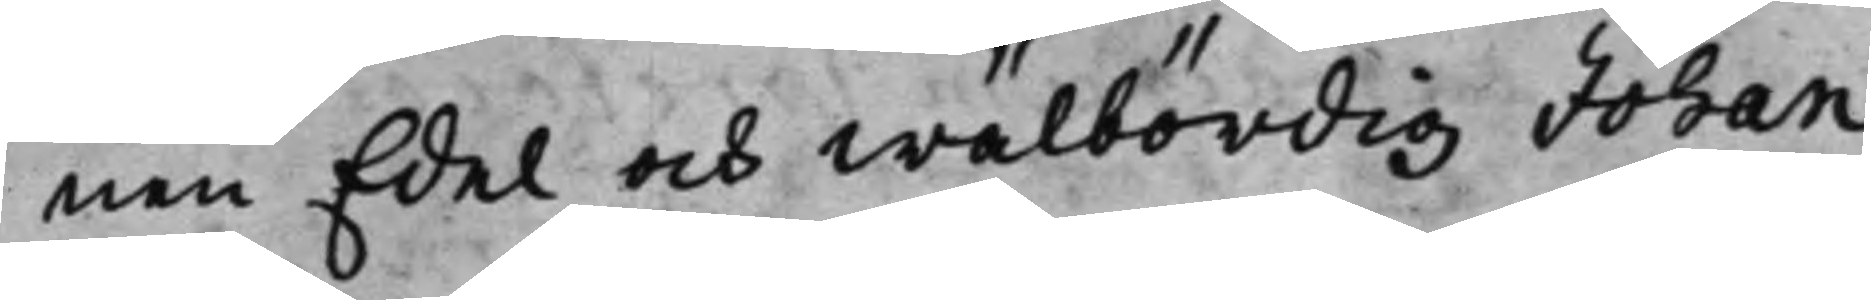nen Edel och Wälbördig Johan
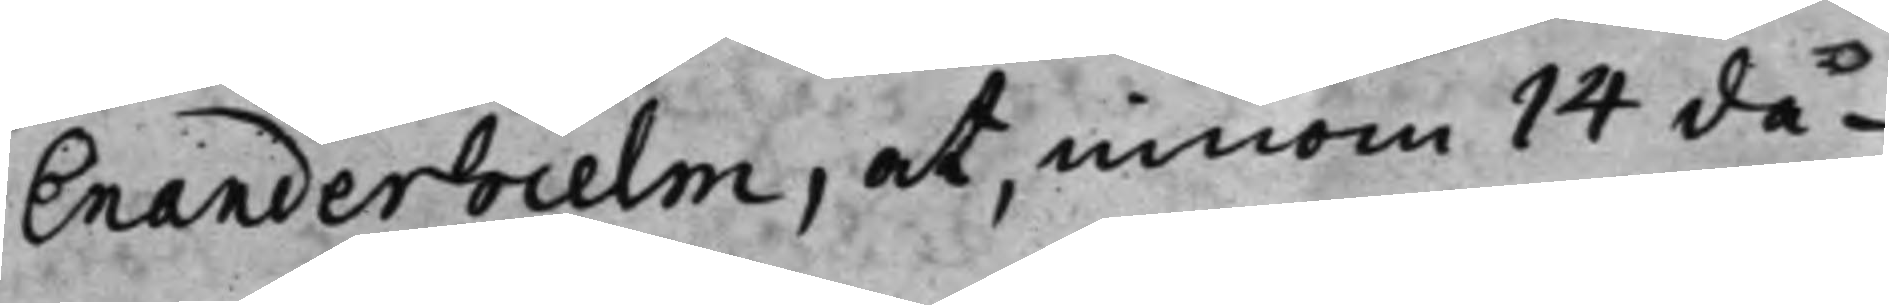Enanderhielm, at, innom 14 da¬
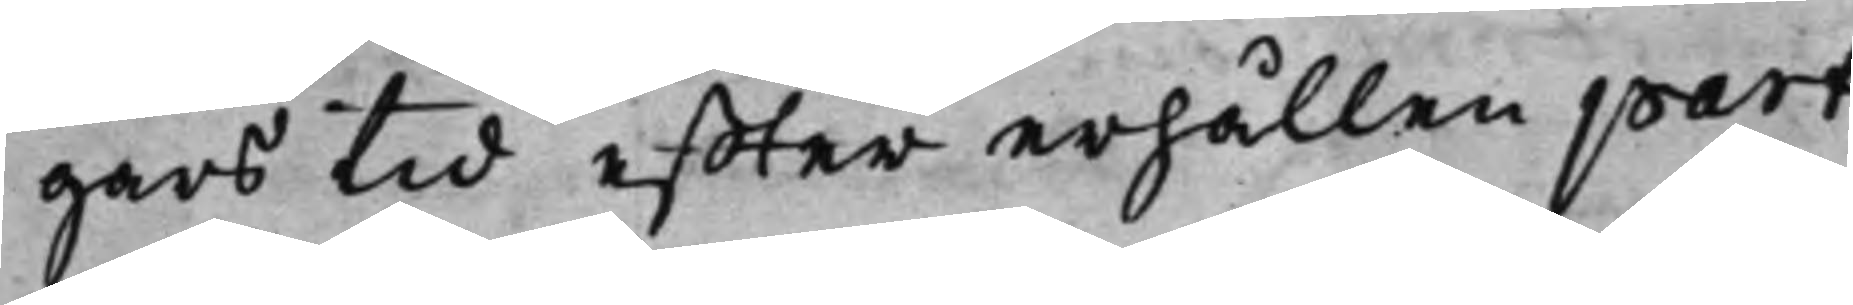gars tid effter erhållen part
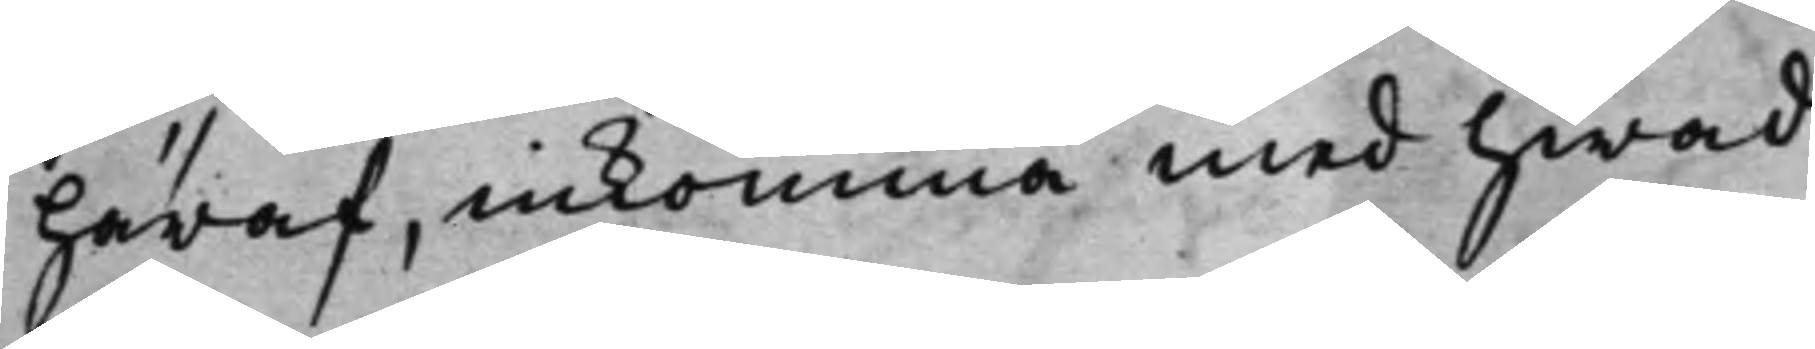häraf, inkomma med hwad
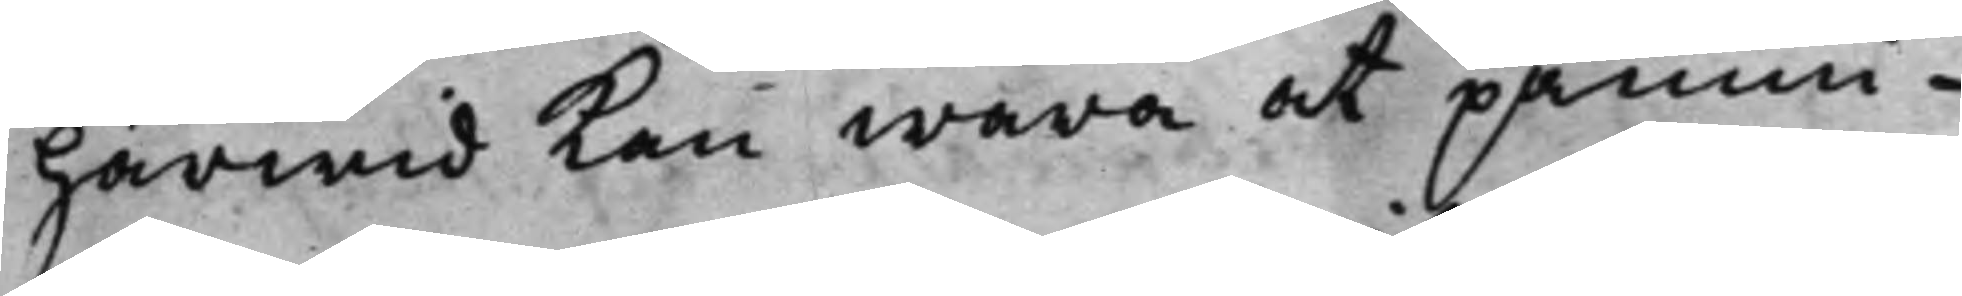härwid kan wara at påmin¬
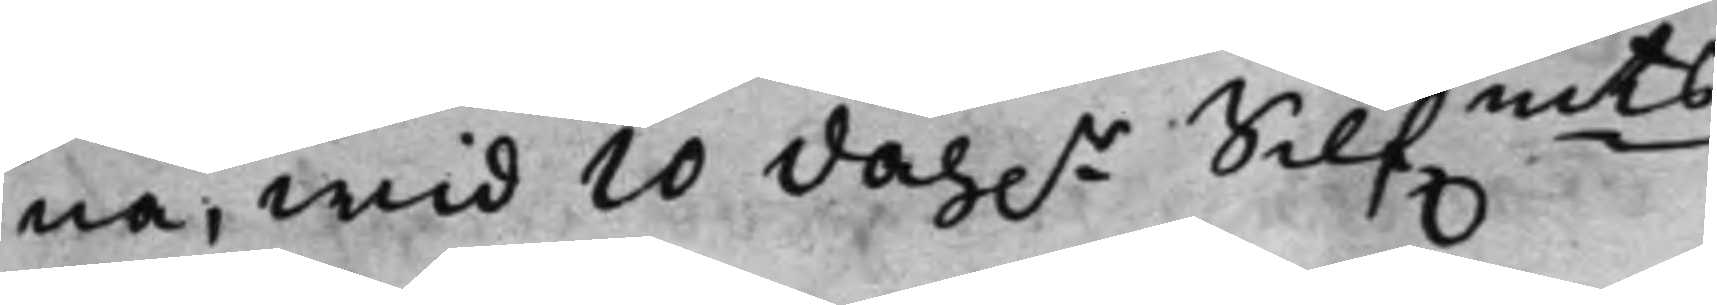na, wid 10 dah.r Silf.mts
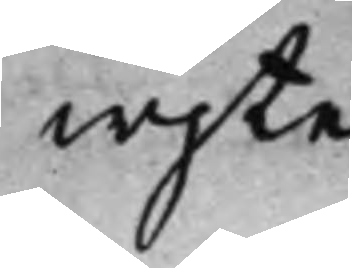wjte.
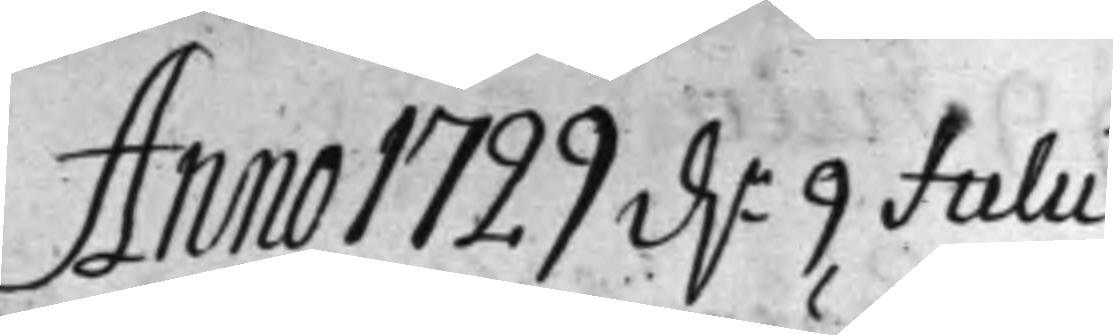Anno 1729 d.n 9 Julii 
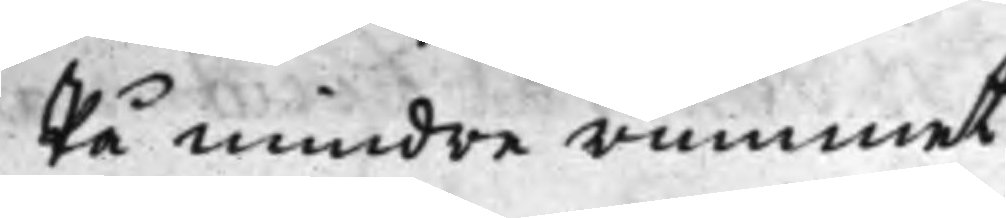På mindre rummet
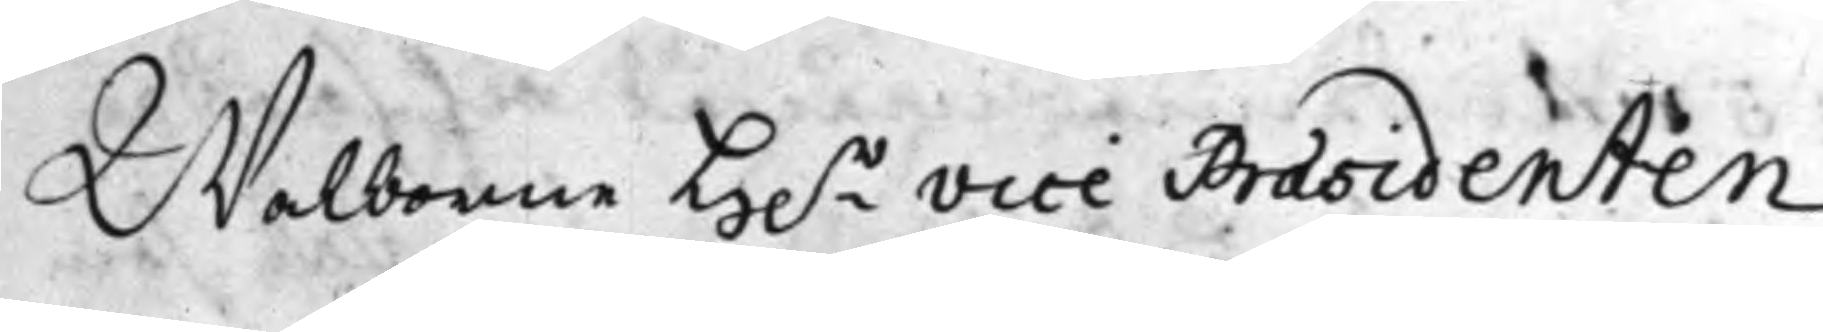Walborne H.r Vice Praesidenten
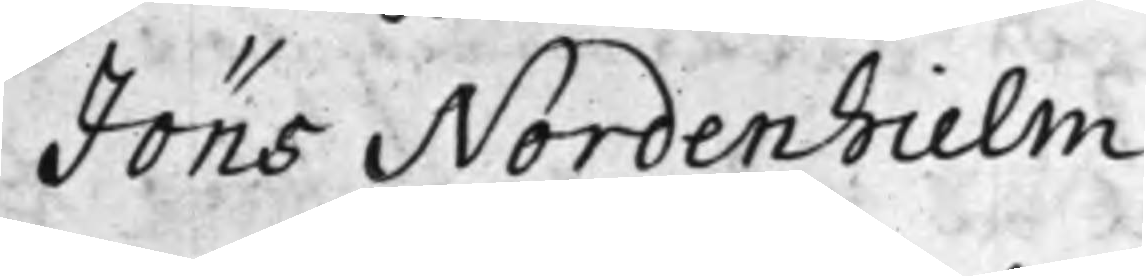Jöns Nordenhielm
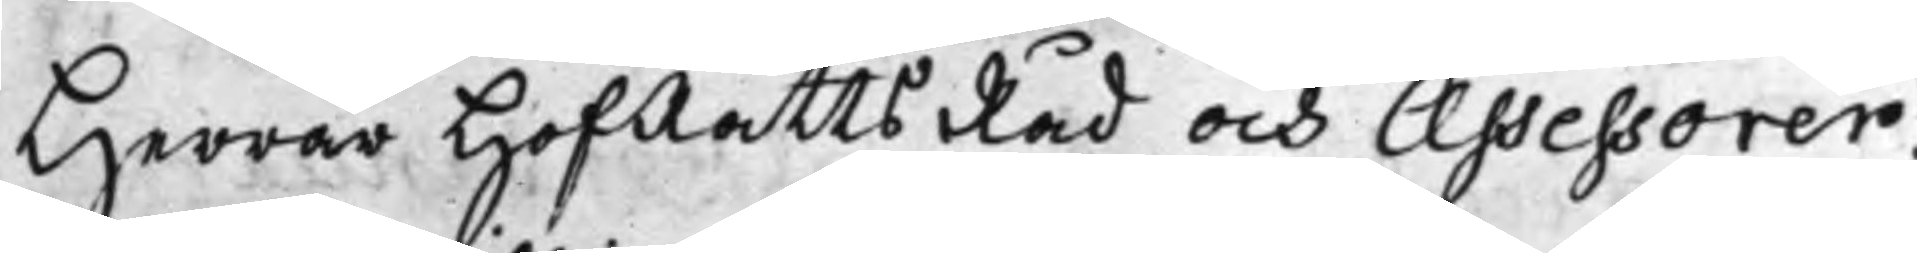Herrar HofRätts Råd och Assessorer.
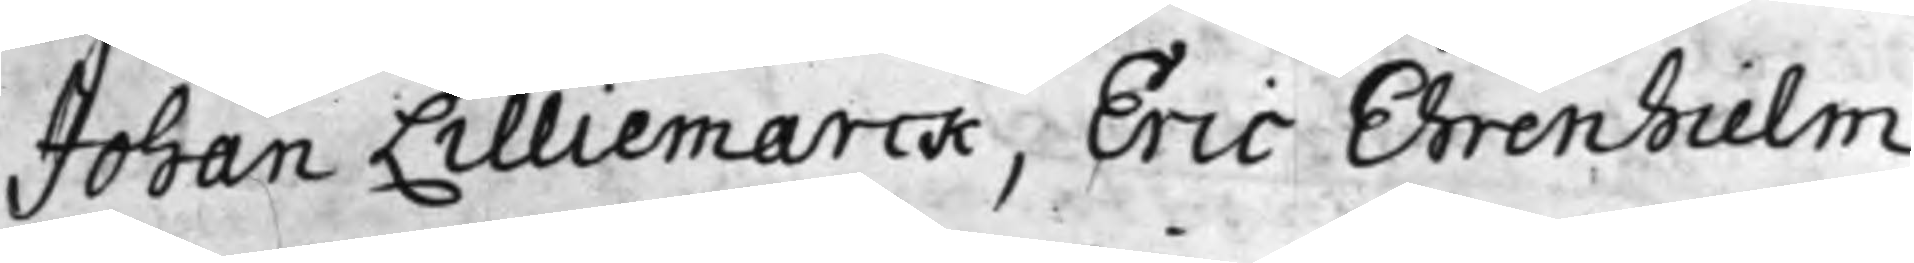Johan Lilliemarck, Eric Ehrenhielm,
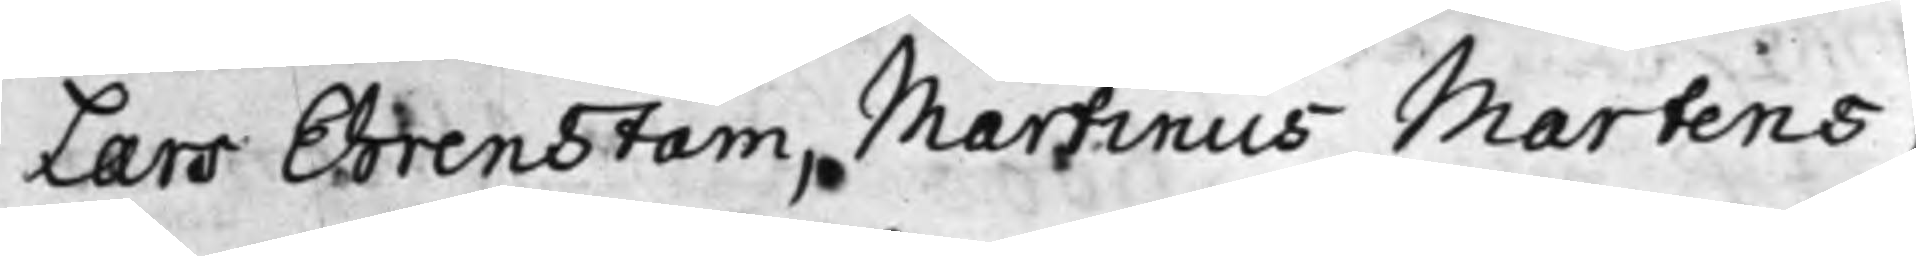Lars Ehrenstam, Martinus Martens,
